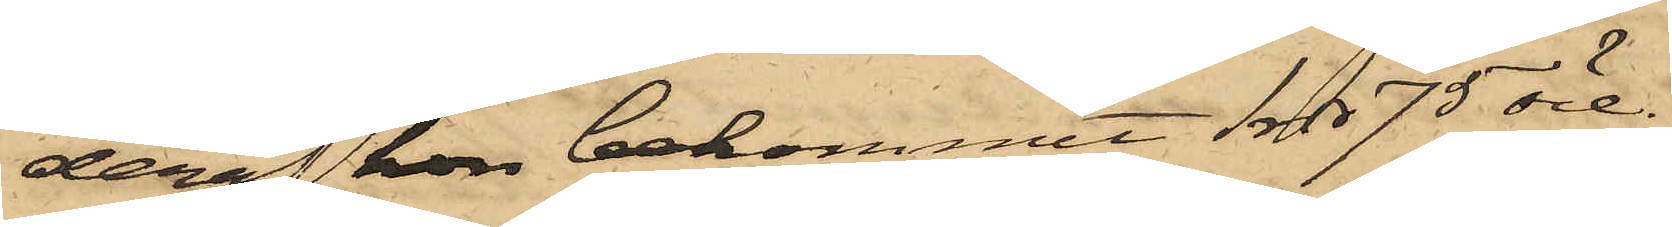deraf hon bekommit 1 rdr 75 öre.
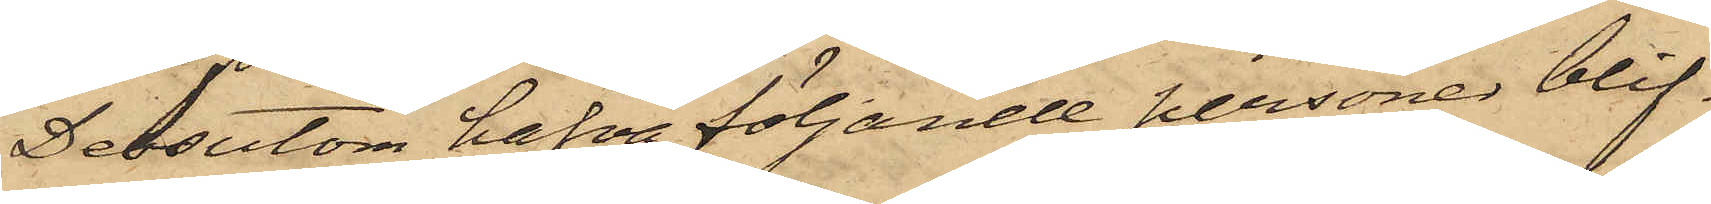Dessutom hafva följande personer blif¬
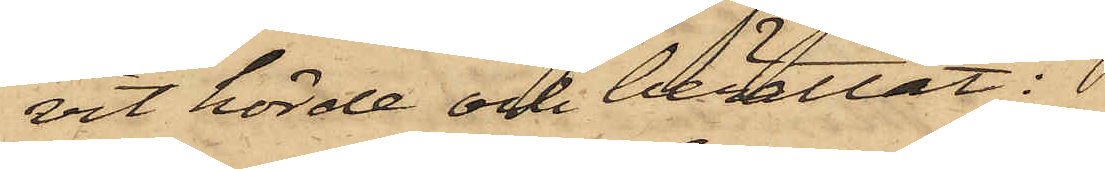vit hörde och berättat:
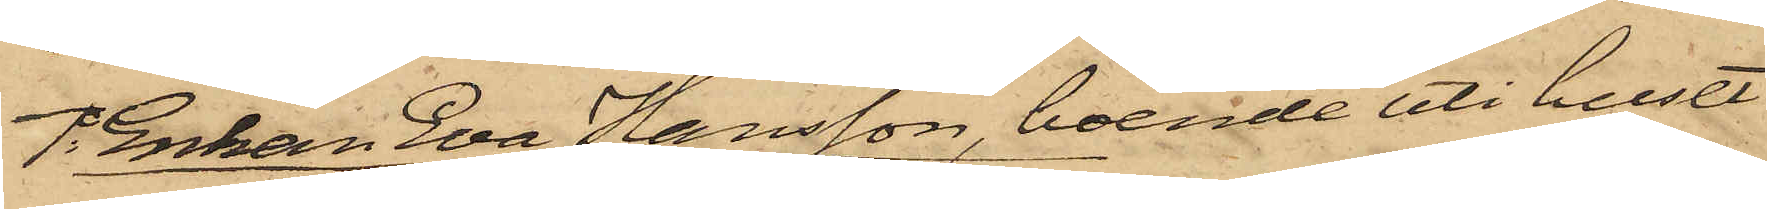1o Enkan Eva Hansson, boende uti huset
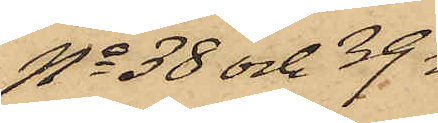No 38 och 39
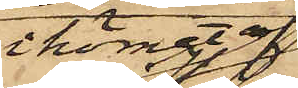i hörnet af
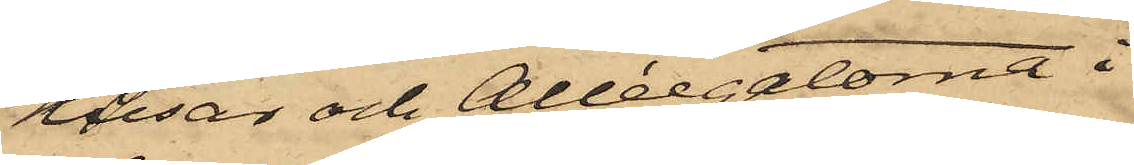Husar och Alléegatorna i
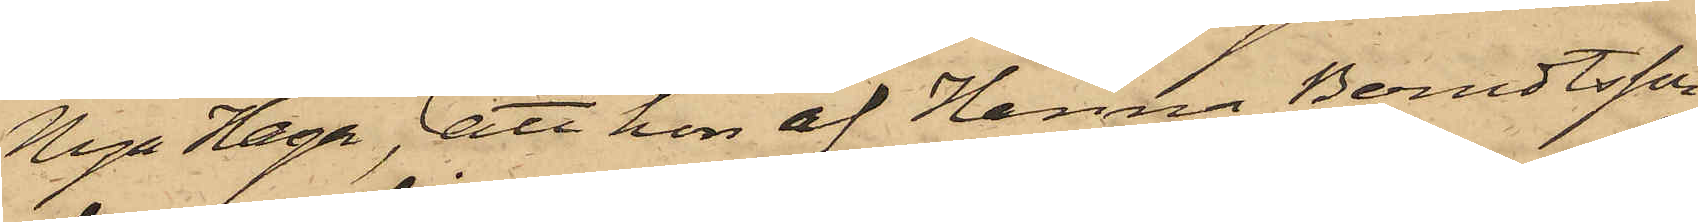Nya Haga, att hon af Hanna Berndtsson
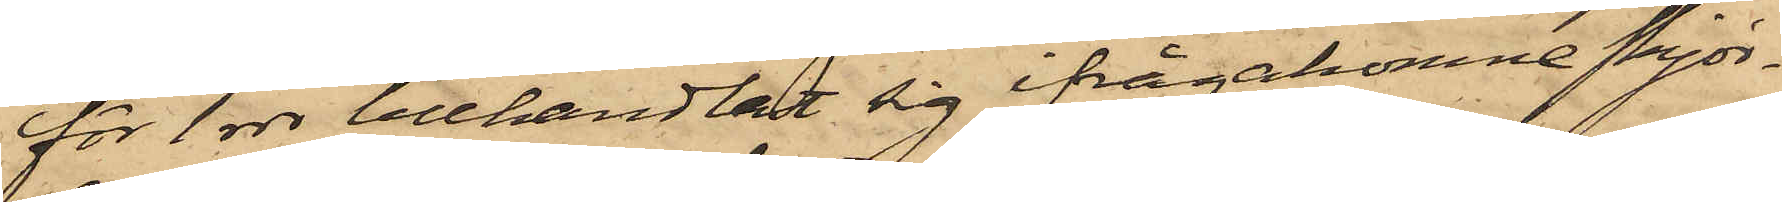för 1 rdr tillhandladt sig ifrågakomne skjor¬
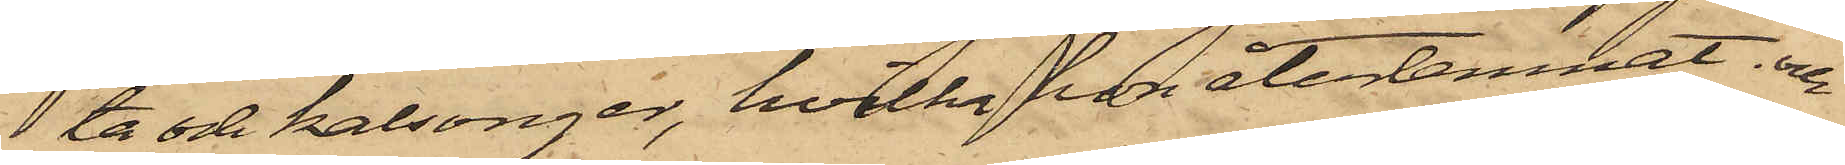ta och kalsonger, hvilka hon återlemnat. och
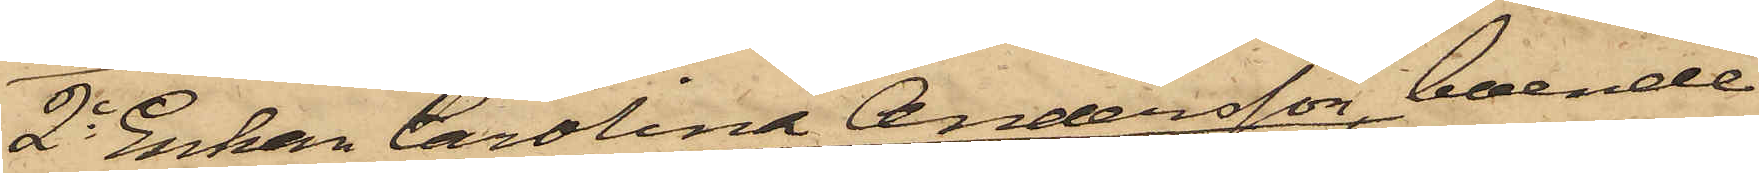2o Enkan Carolina Andersson, boende
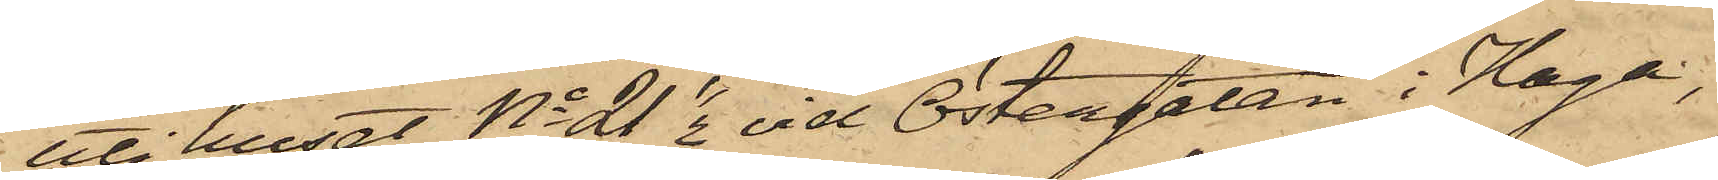uti huset No 21 1/2 vid Östergatan i Haga,
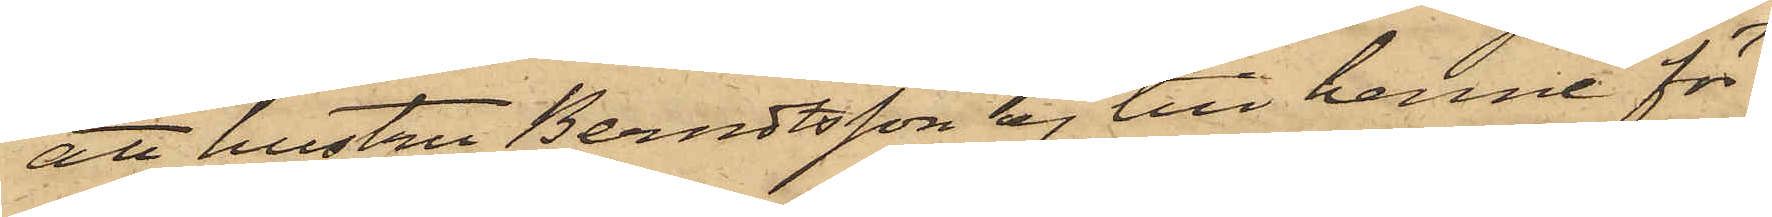att hustru Berndtsson ej till henne för¬
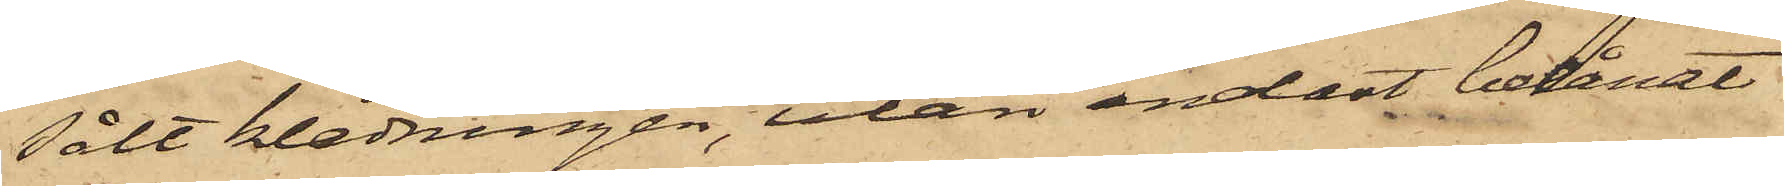sålt klädningen, utan endast belånat
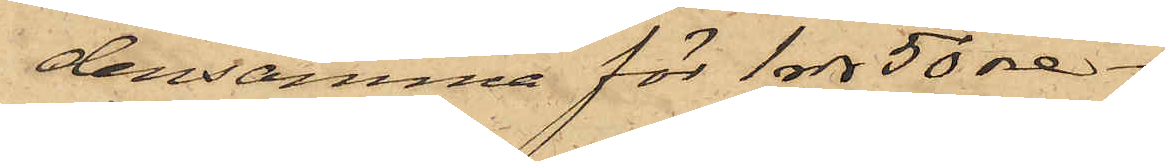densamma för 1 rdr 50 öre.
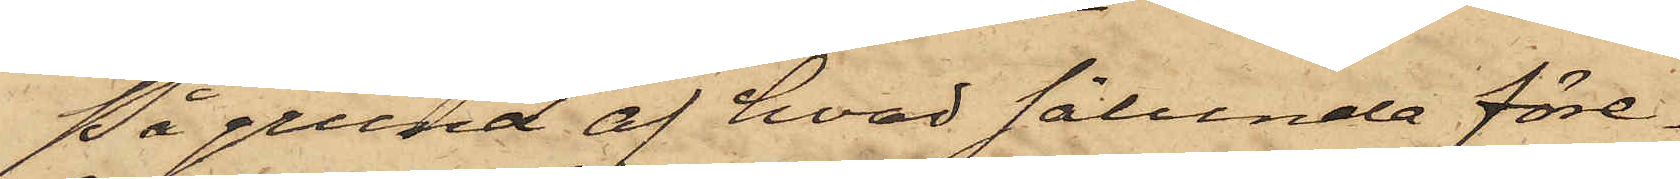På grund af hvad sålunda före¬
